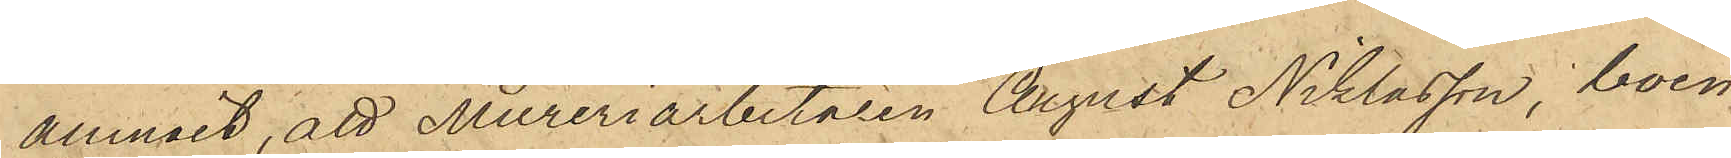anmält, att Mureriarbetaren August Niklasson, boen¬
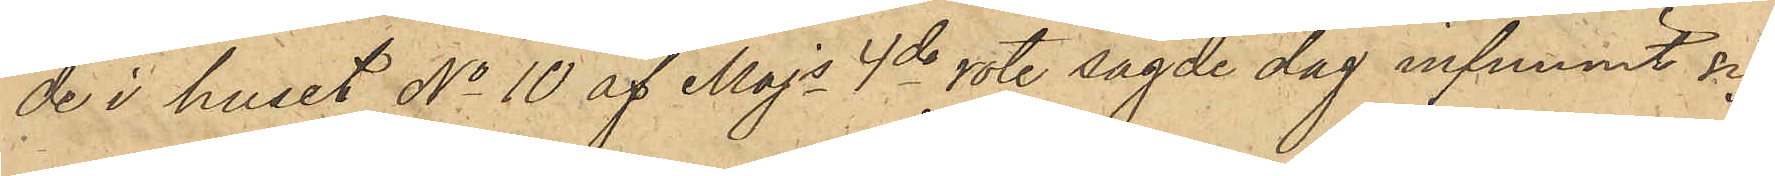de i huset No 10 af Majs 4de rote sagde dag infunnit sig
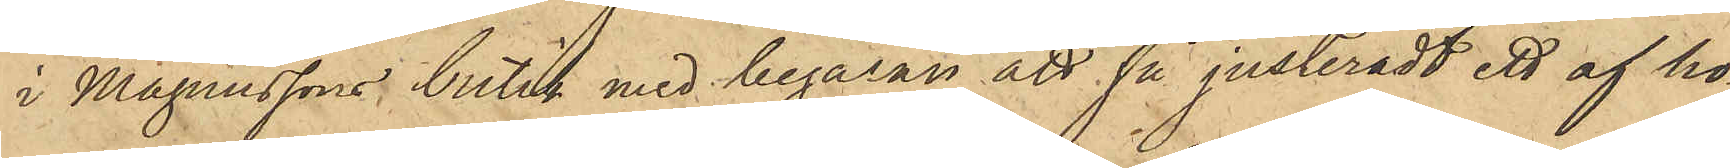i Magnussons butik med begäran att få justeradt ett af ho¬
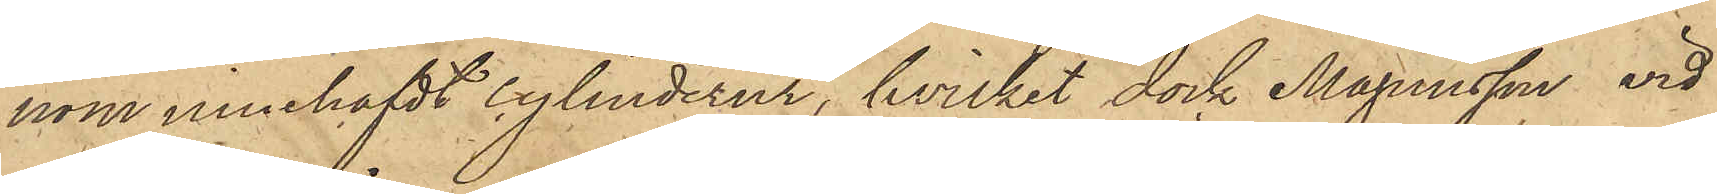nom innehafdt cylinderur, hvilket dock Magnusson vid
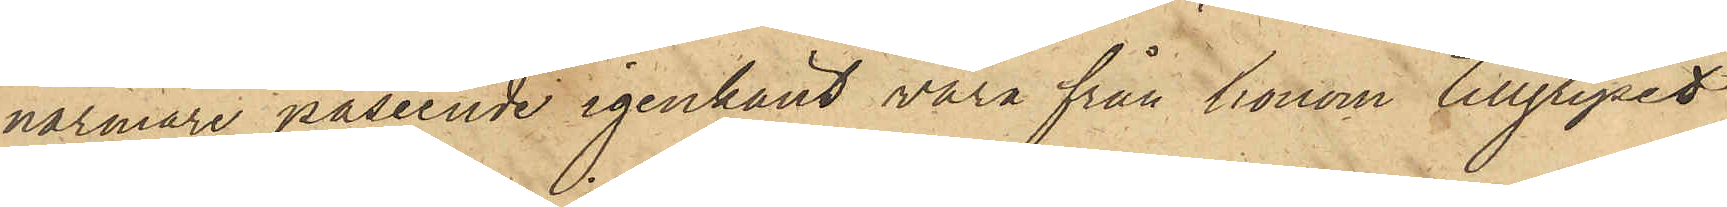närmare påseende igenkänt vara från honom tillgripet
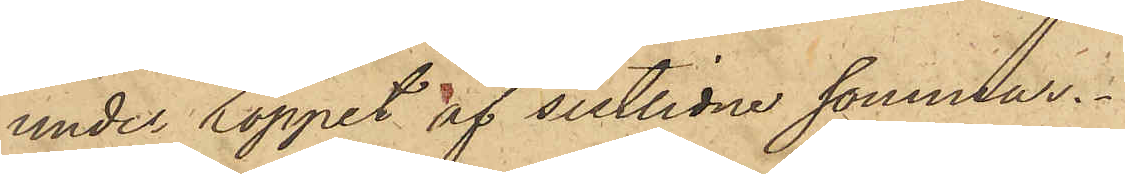under loppet af sistlidne sommar.
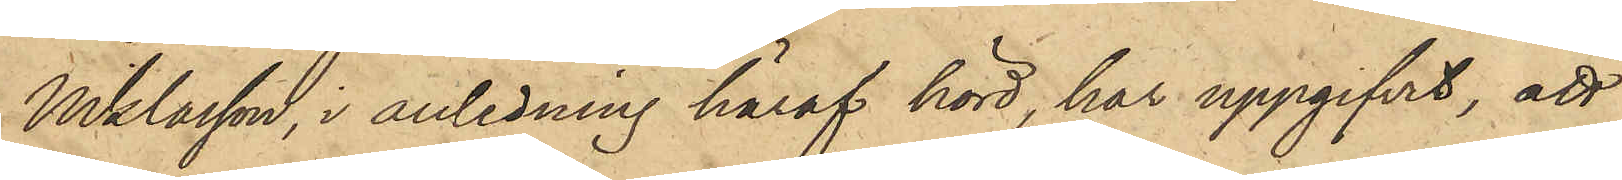Niklasson, i anledning häraf hörd, har uppgifvit, att
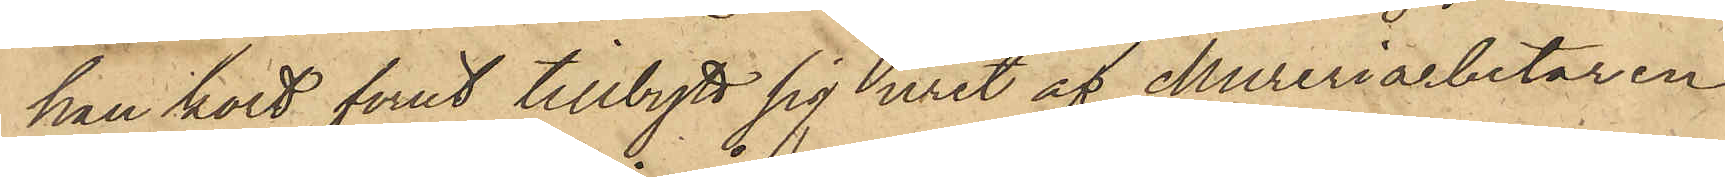han kort förut tillbytt sig uret af Mureriarbetaren
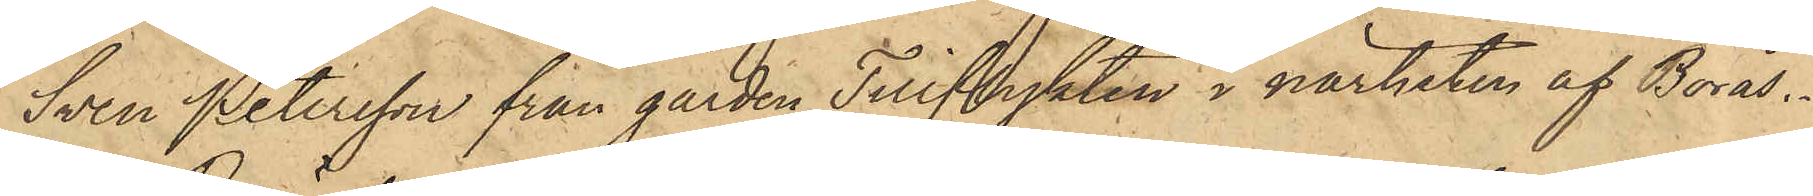Sven Petersson från gården Tillflykten i närheten af Borås.
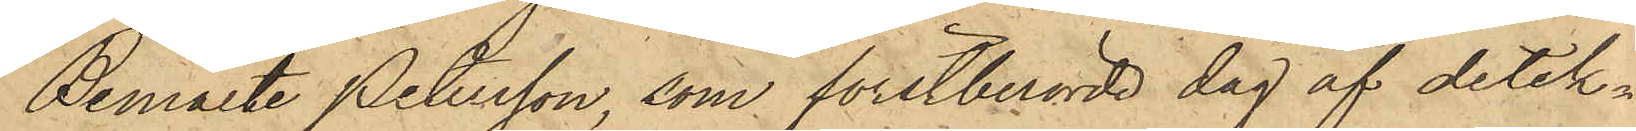Bemälte Petersson, som förstberörde dag af detek¬
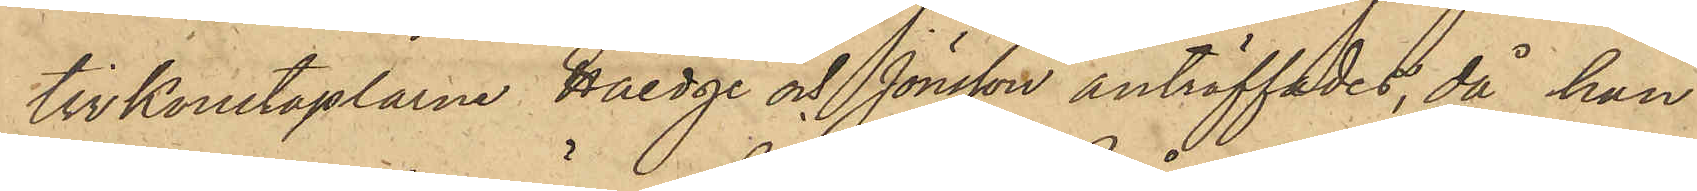tivkonstaplarne Hedge och Jönsson anträffades, då han
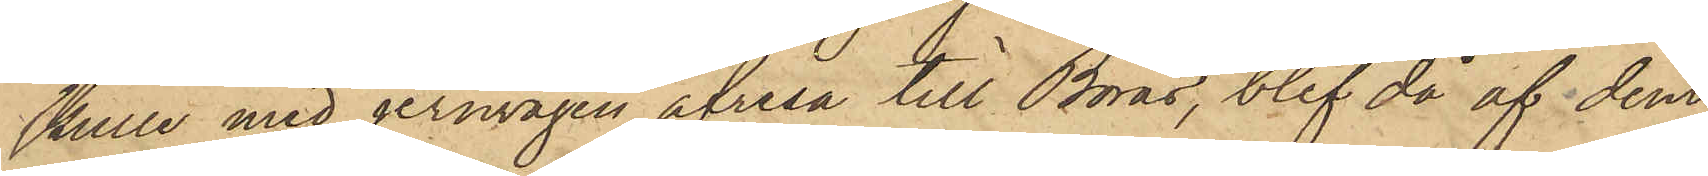skulle med jernvägen afresa till Borås, blef då af dem
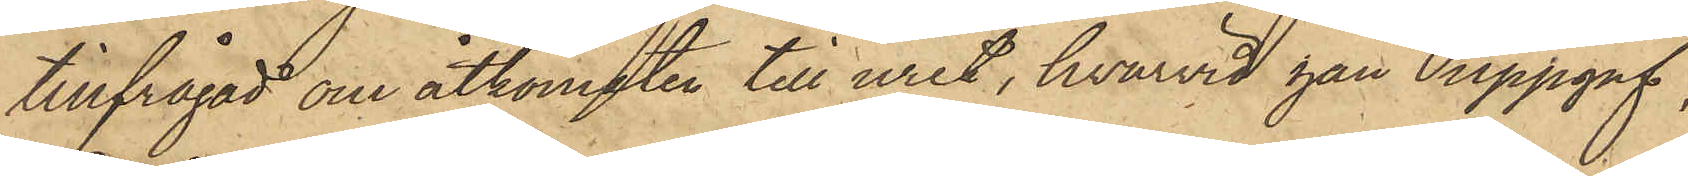tillfrågad om åtkomsten till uret, hvarvid han uppgaf,
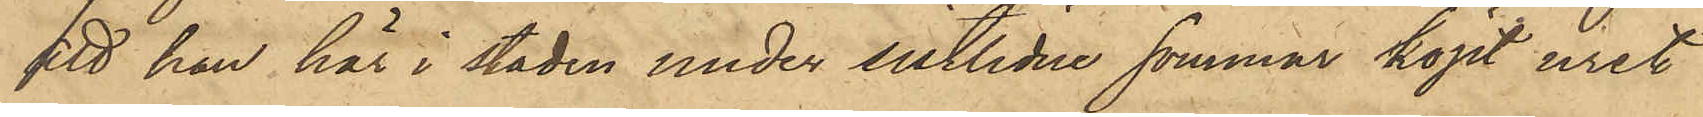att han här i staden under sistlidne sommar köpt uret
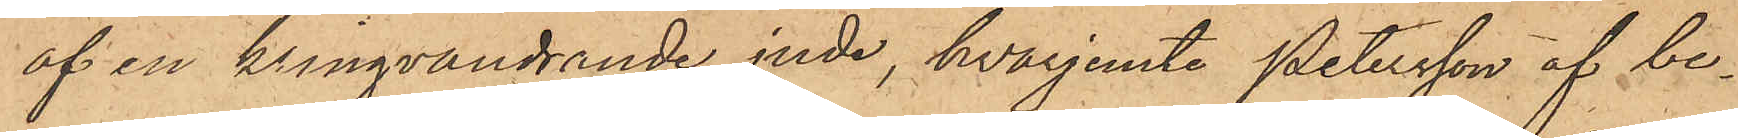af en kringvandrande jude, hvarjemte Petersson af be¬
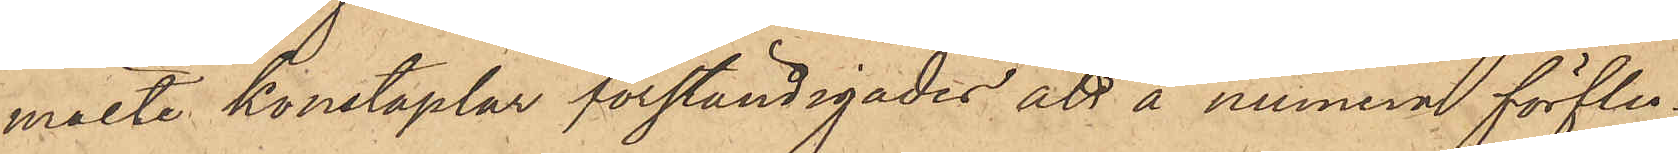mälte konstaplar förständigades att å numera förflu¬
